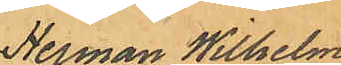Herman Wilhelm
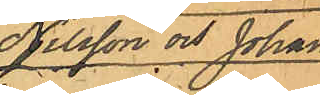Nilsson och Johan
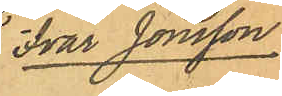Ivar Jonsson.
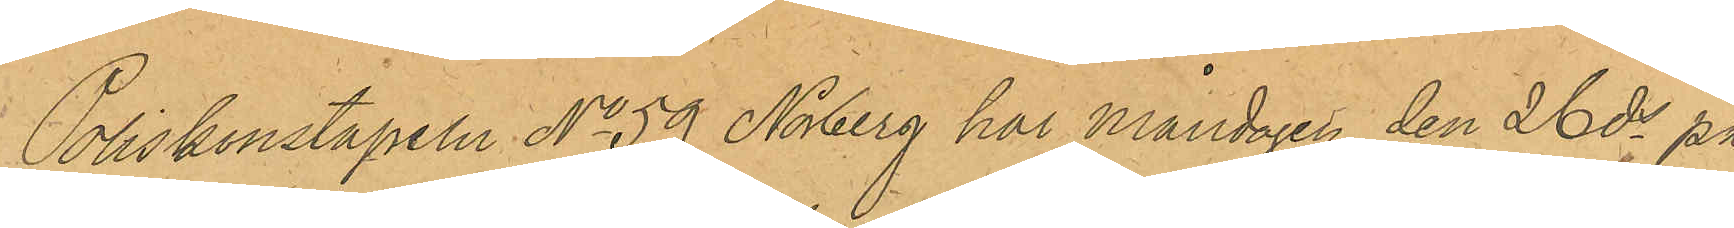Poliskonstapeln No 59 Norberg har Måndagen den 26 ds på
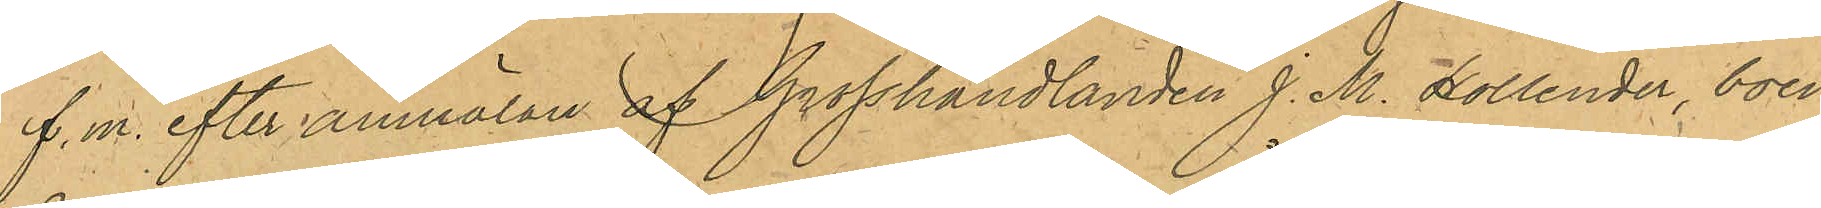f.m. efter anmälan af Grosshandlanden J. M. Hollender, boen¬
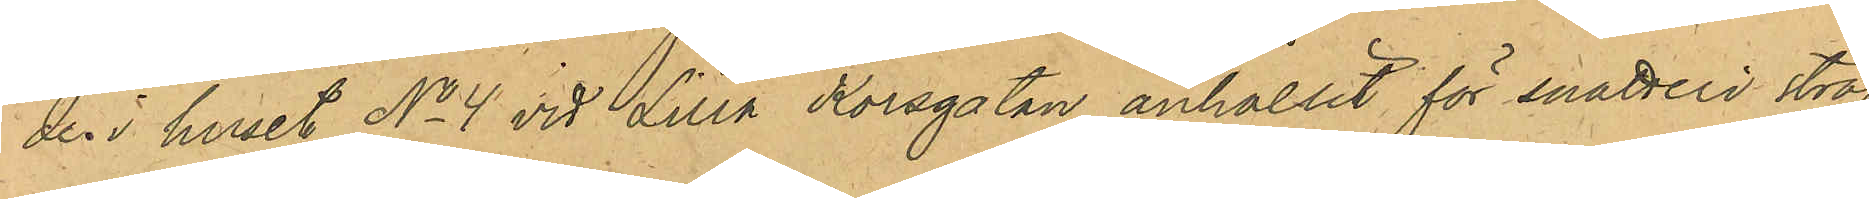den i huset No 4 vid Lilla Korsgatan anhållit för snatteri straf¬
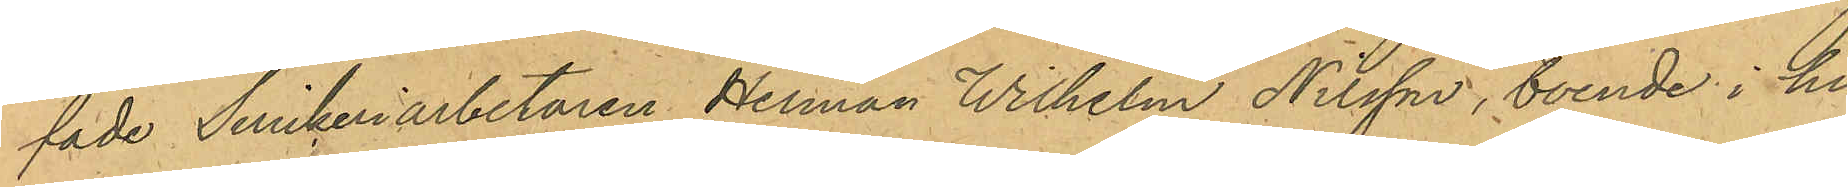fade Snickeriarbetaren Herman Wilhelm Nilsson, boende i hu¬
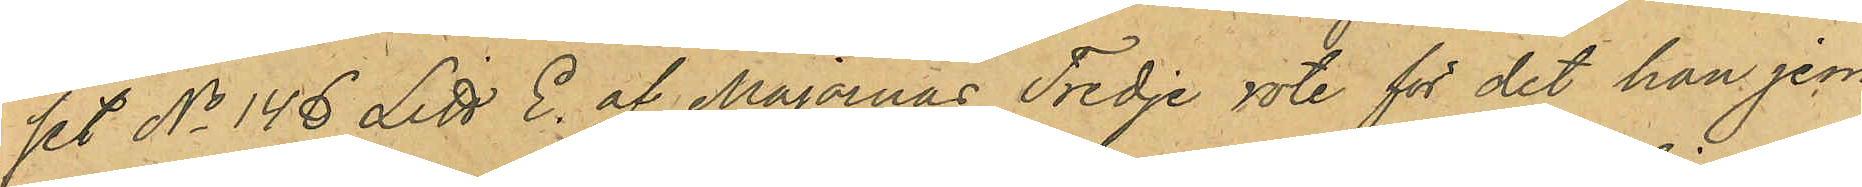set No 146 Litt E. af Majornas Tredje rote för det han jem¬
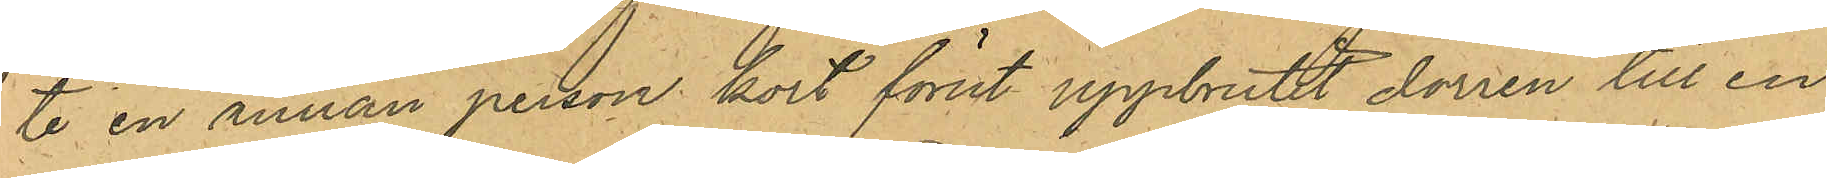te en annan person kort förut uppbrutit dörren till en
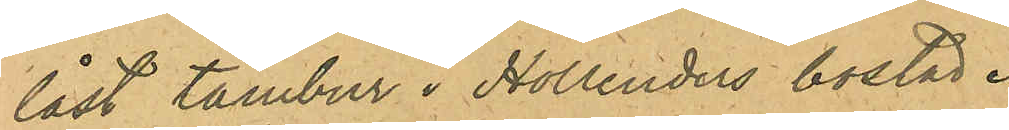låst tambur i Hollenders bostad.
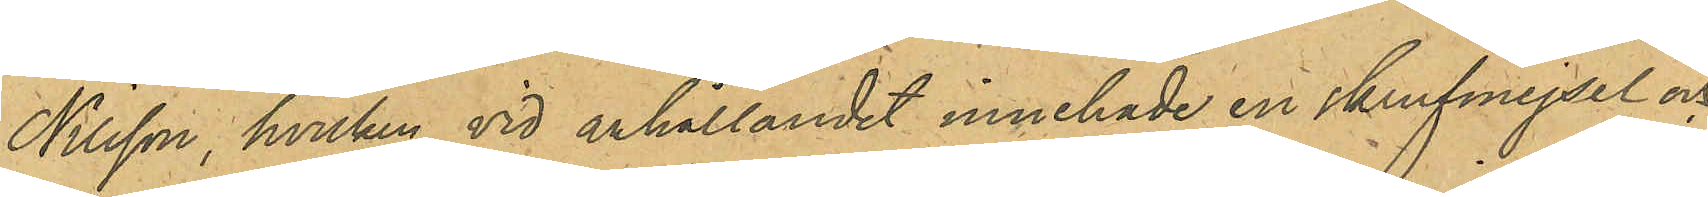Nilsson, hvilken vid anhållandet innehade en skrufmejsel och
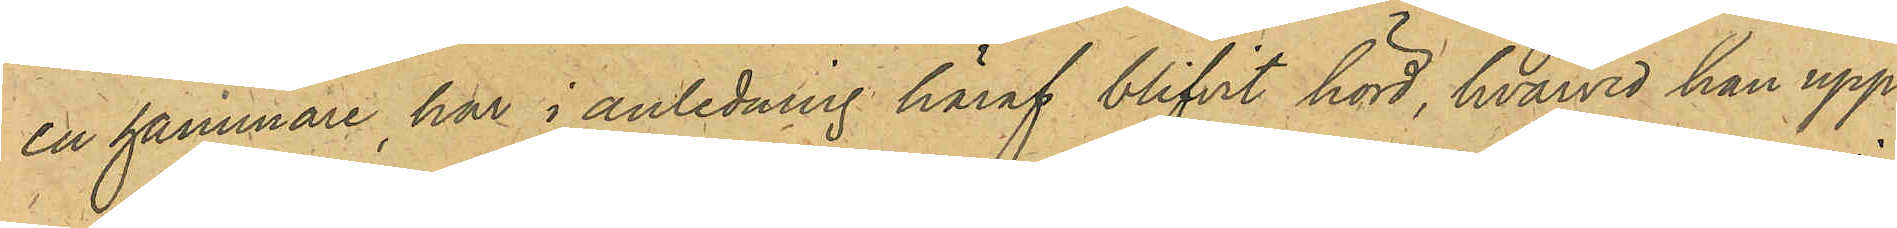en hammare har i anledning häraf blifvit hörd, hvarvid han upp¬
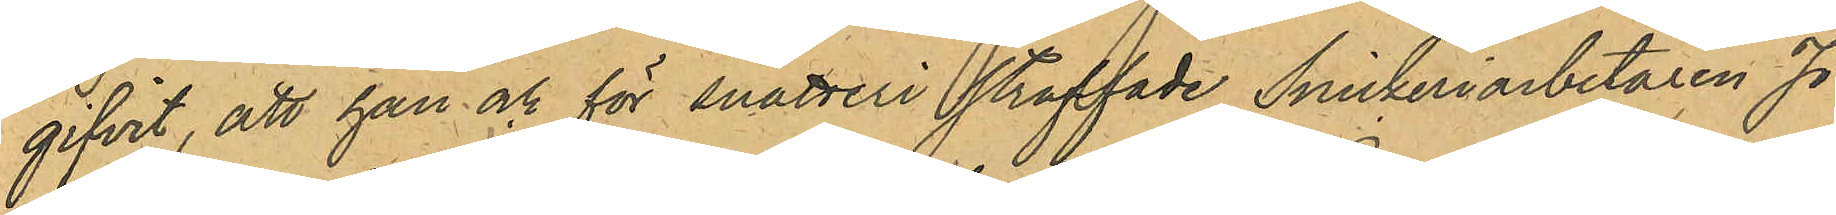gifvit, att han och för snatteri straffade Snickeriarbetaren Jo¬
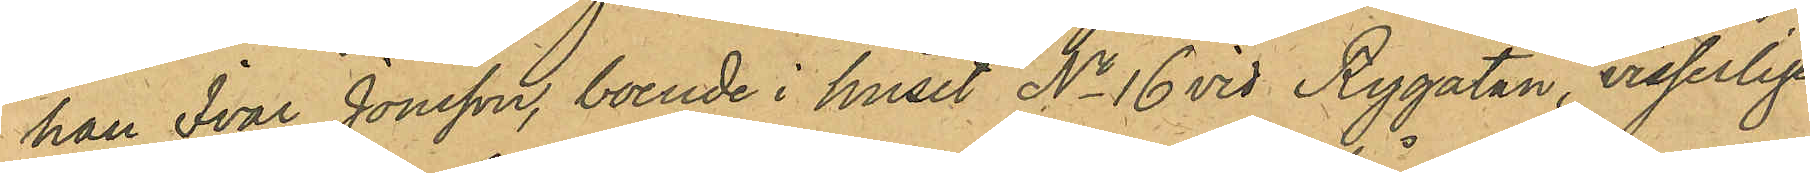han Ivar Jonsson, boende i huset No 16 vid Rygatan, visserligen
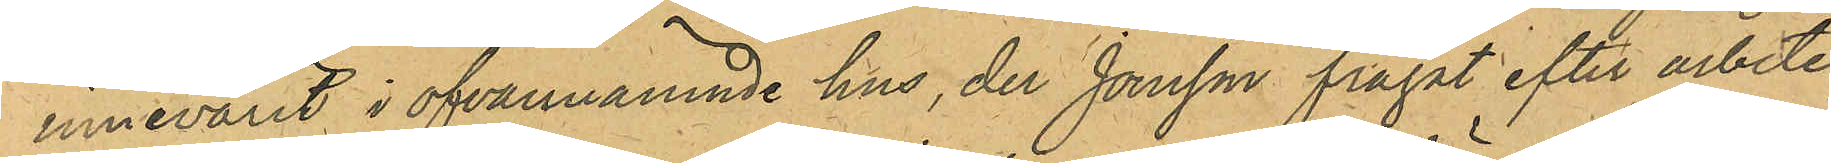innevarit i ofvannämnde hus, der Jonsson frågat efter arbete,
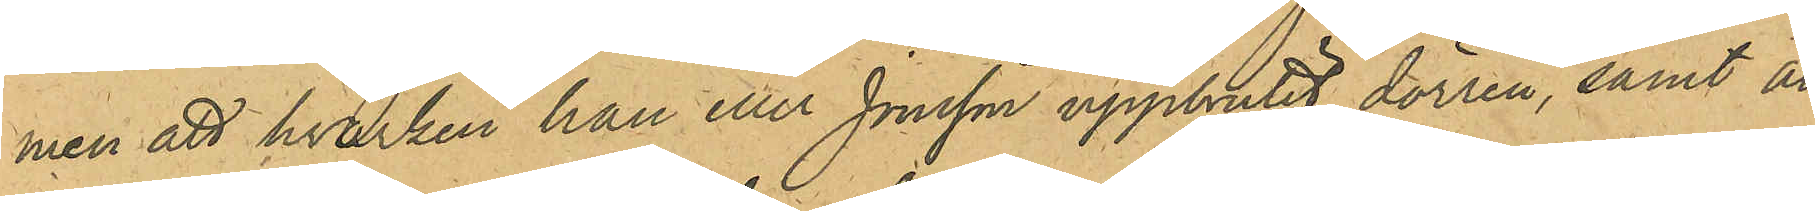men att hvarken han eller Jonsson uppbrutit dörren, samt att
